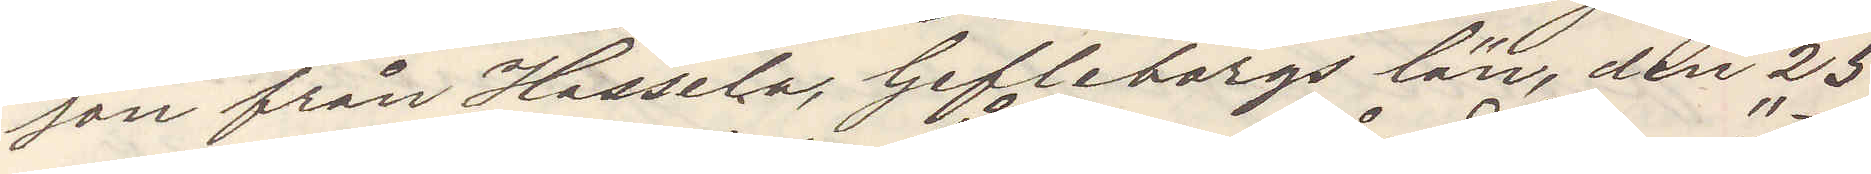son från Hassela, Gefleborgs län, den 25
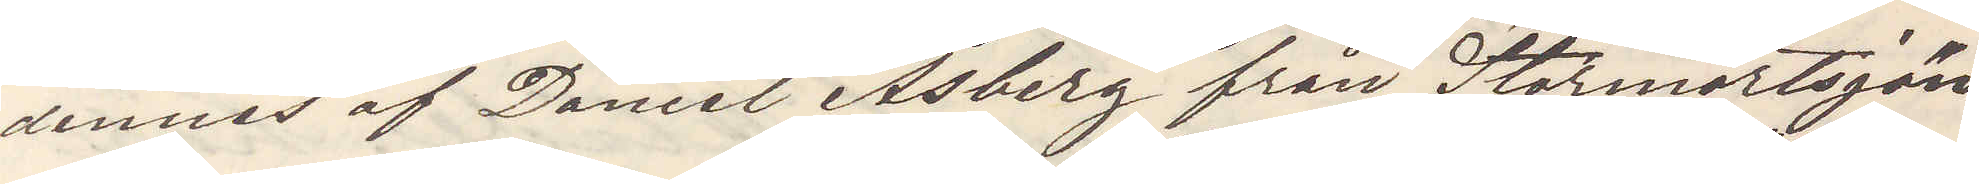dennes af Daniel Åsberg från Stormörtsjön
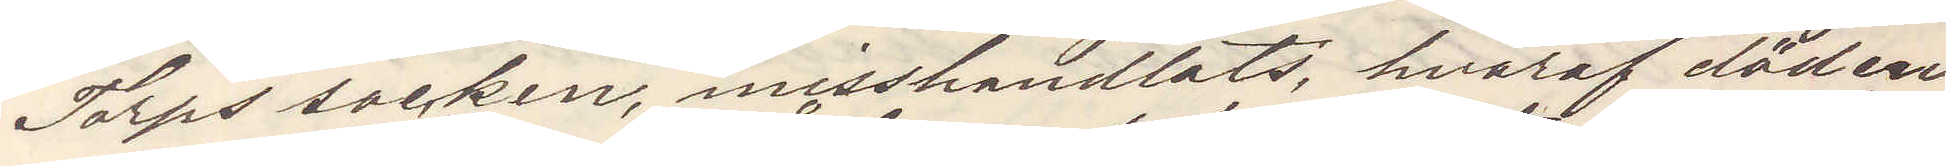Torps socken, misshandlats hvaraf döden
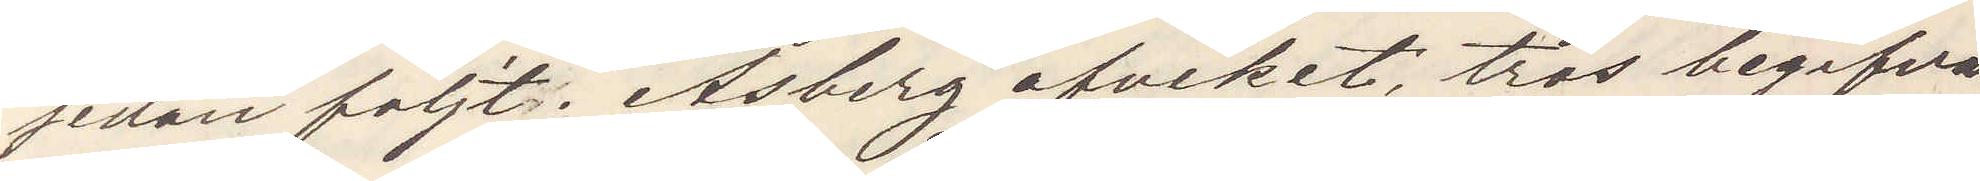sedan följt. Åsberg afviket, tros begifva
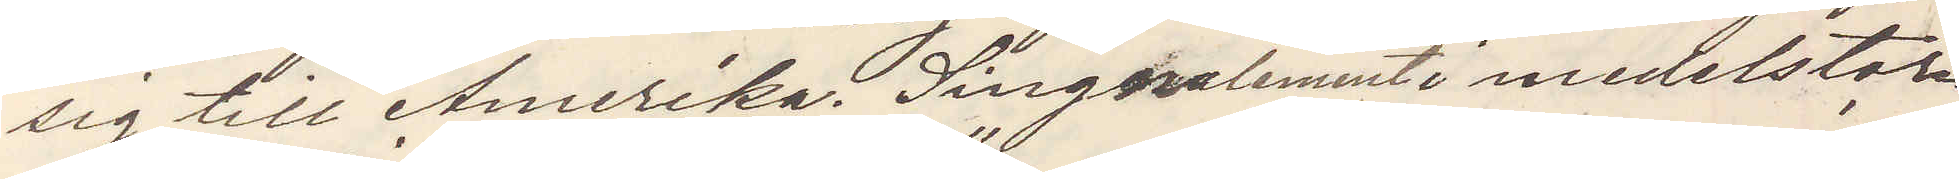sig till Amerika. Singnalement medelstor¬
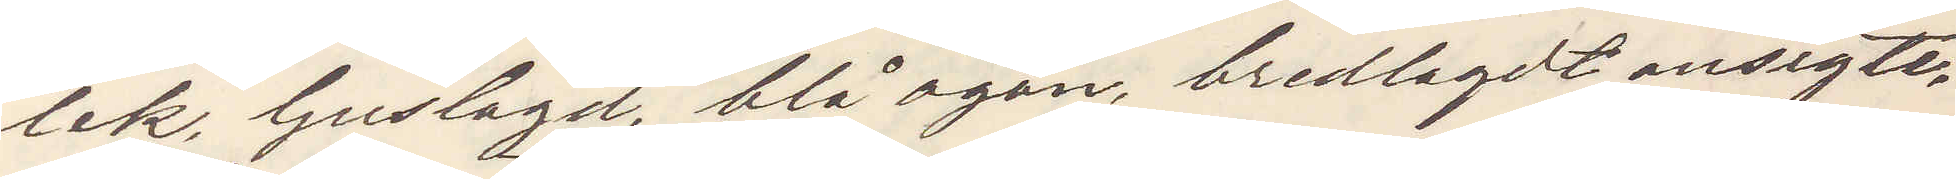lek, ljuslagd, blå ögon, bredlagdt ansigte,
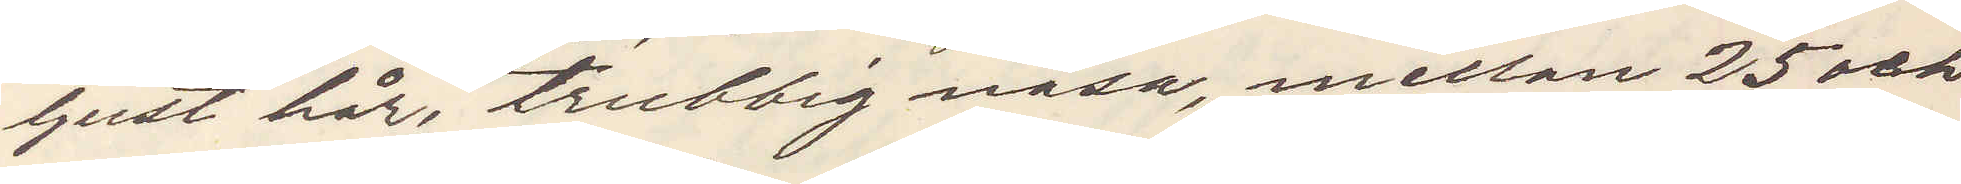ljust hår, trubbig näsa, mellan 25 och
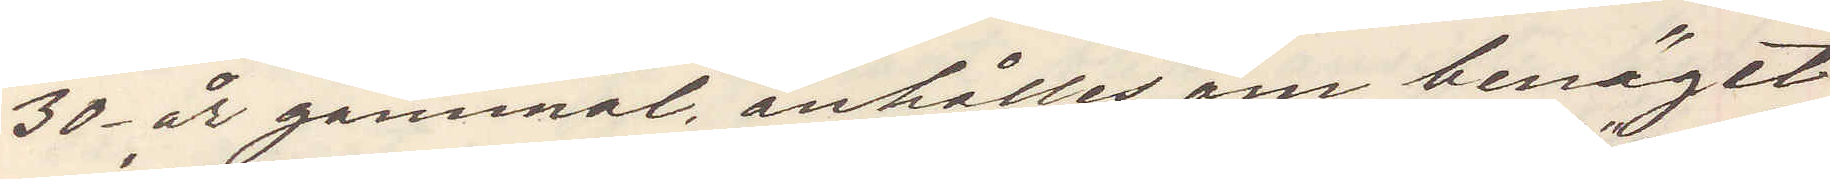30 år gammal, anhålles om benäget
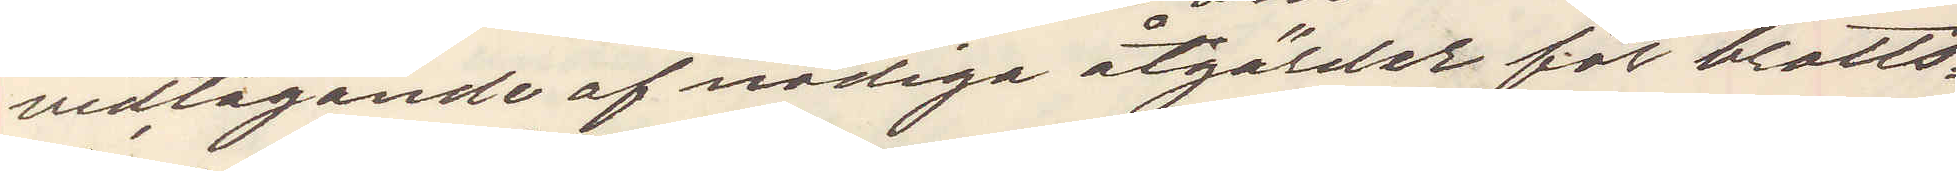vidtagande af nödiga åtgärder för brotts¬
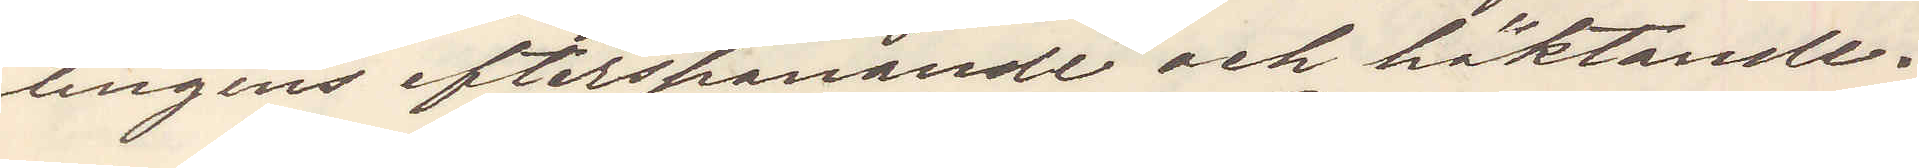lingens efterspanande och häktande.
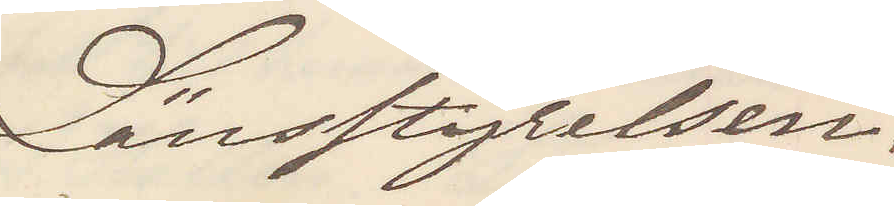Länsstyrelsen.
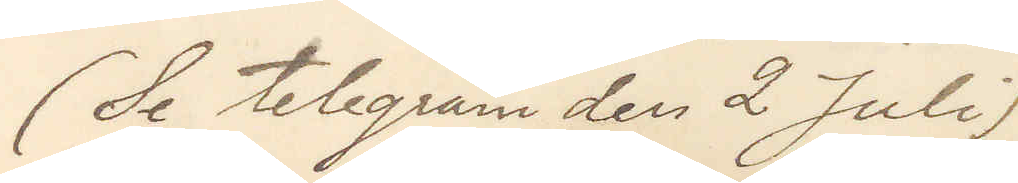(Se telegram den 2 Juli)
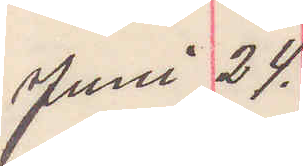Juni 24.
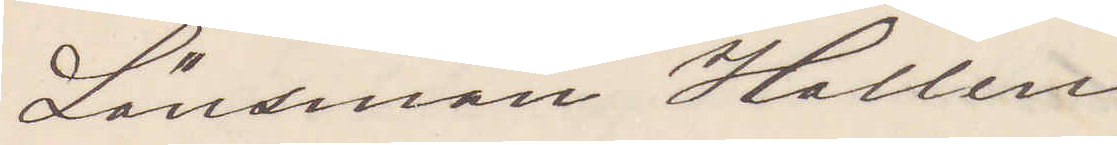Länsman Hallen
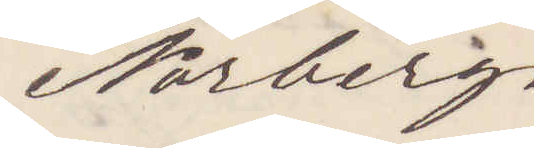Norberg.
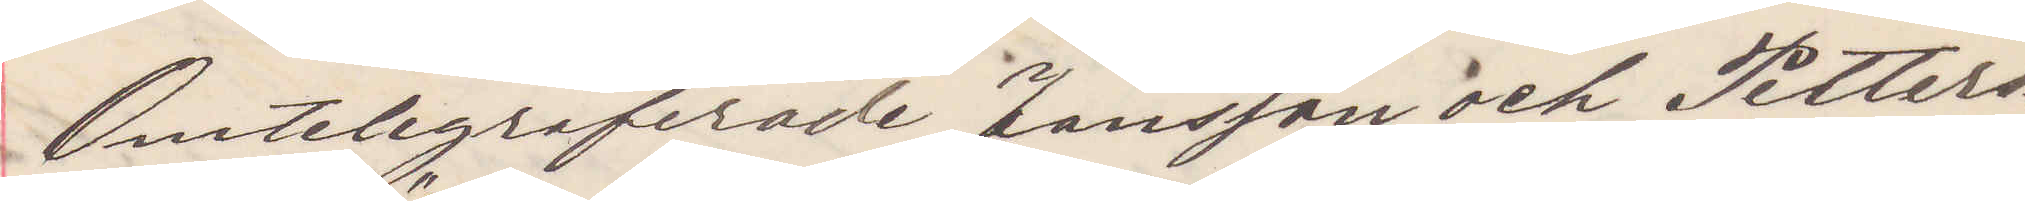Omtelegraferade Jansson och Petters¬
